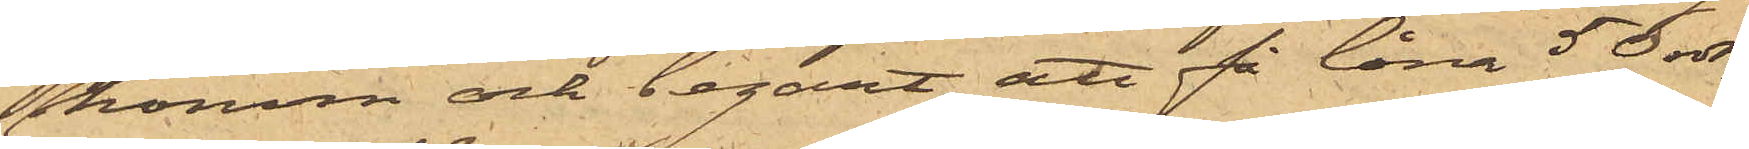honom och begärt att få låna 50 rdr,
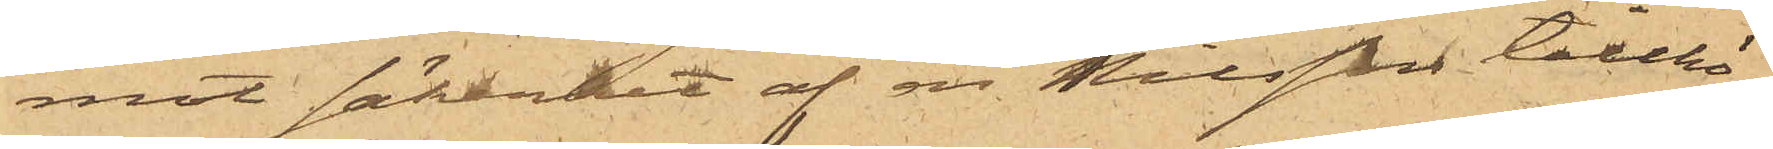mot säkerhet af en Nilsson tillhö¬
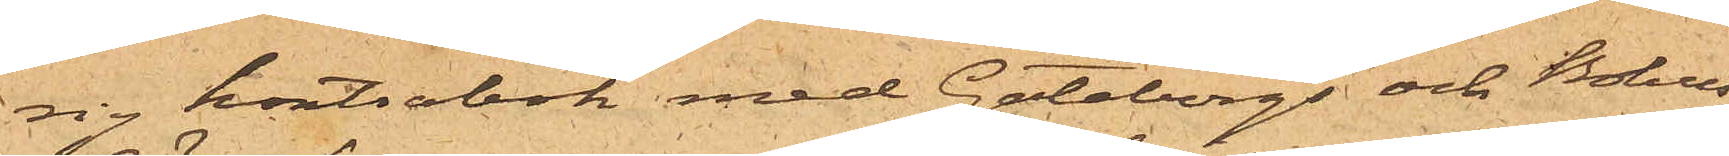rig kontrabok med Göteborgs och Bohus
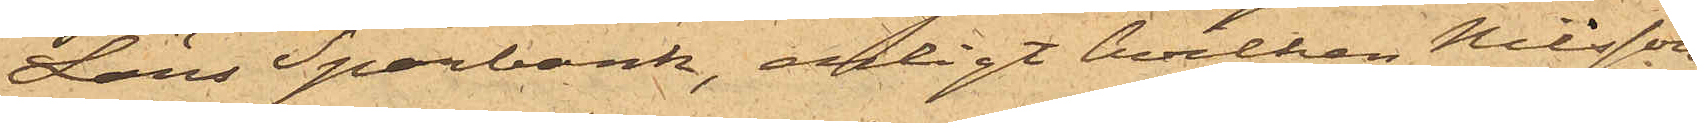Läns Sparbank, enligt hvilken Nilsson
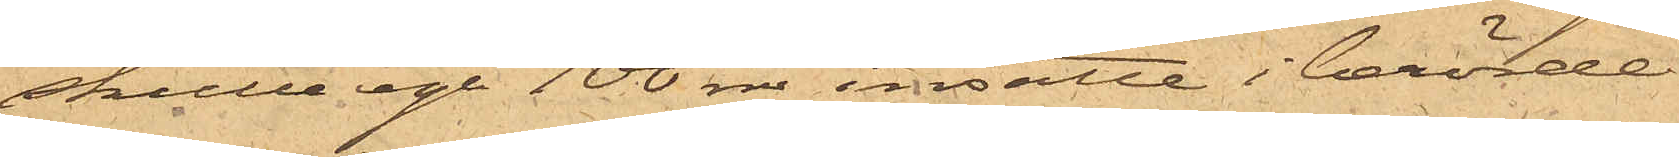skulle ega 100 rdr insatte i berörde
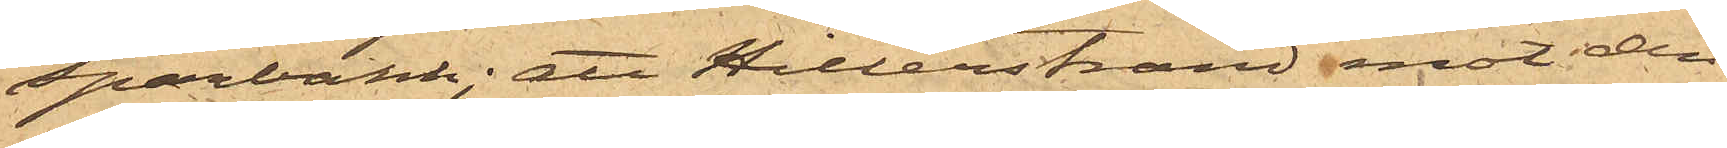Sparbank; att Hillerstrand mot den
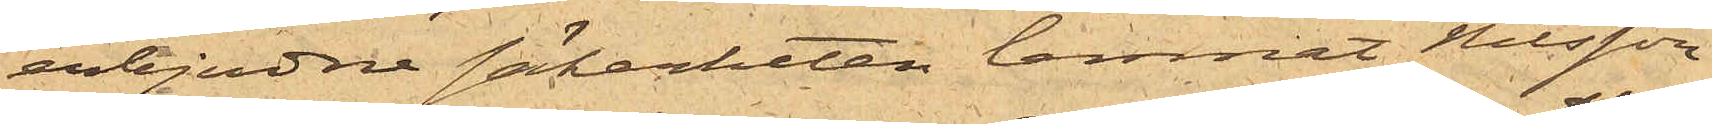erbjudne säkerheten lemnat Nilsson
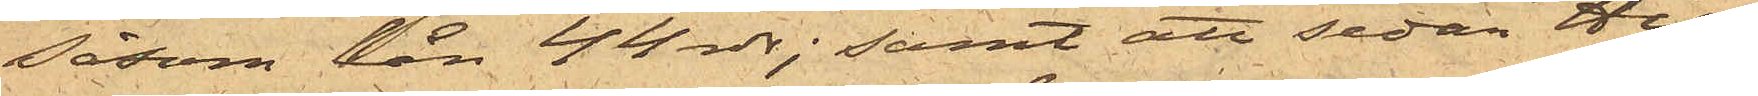såsom lån 44 rdr; samt att sedan Hil¬
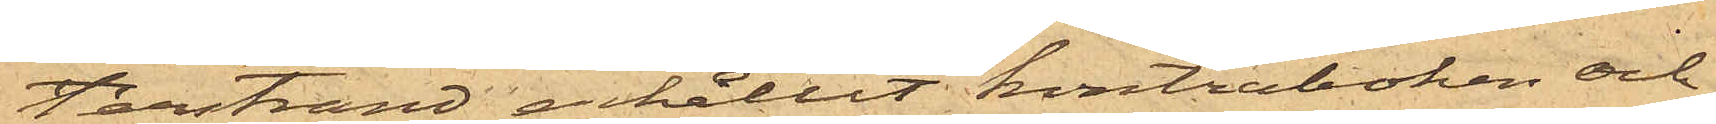lerstrand erhållit kontraboken och
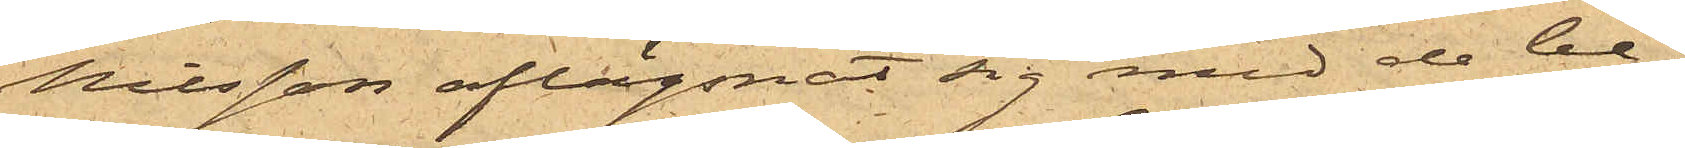Nilsson aflägsnat sig med de be¬
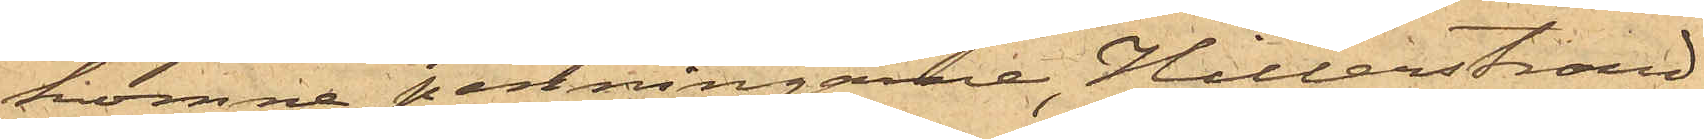komne penningarne, Hillerstrand
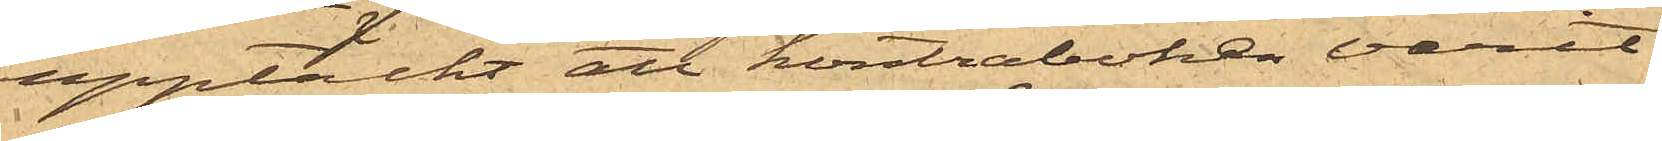upptäckt att kontraboken varit
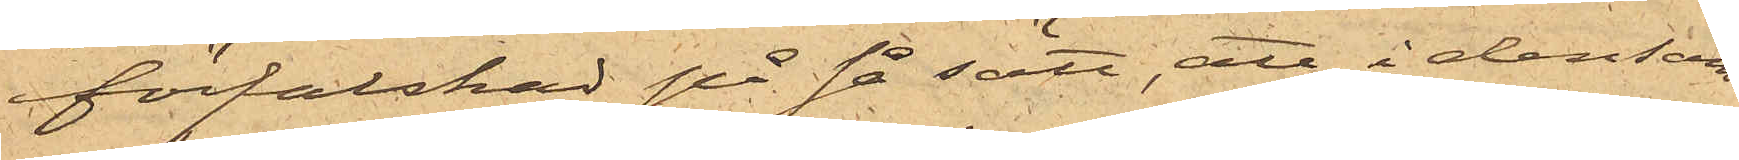förfalskad på så sätt, att i densam¬
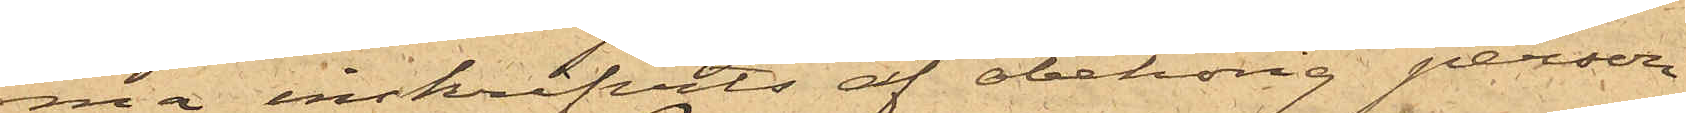ma inskrifvits af obehörig person
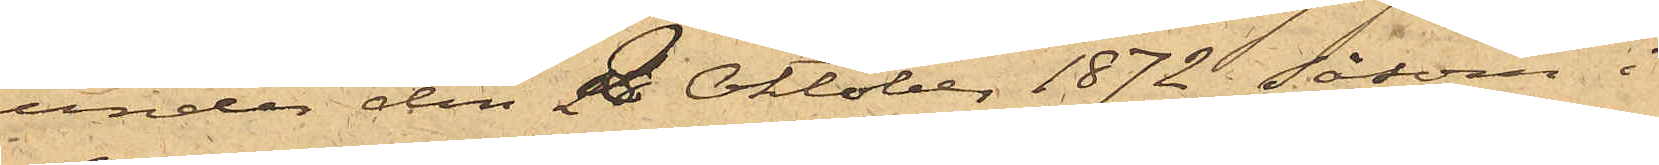under den 2 Oktober 1872 såsom i
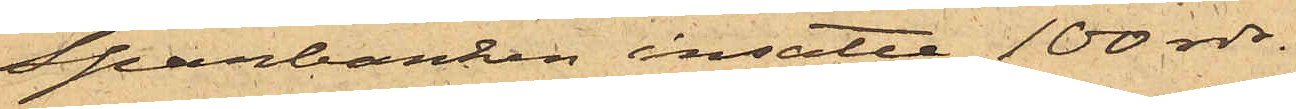Sparbanken insatte 100 rdr.
